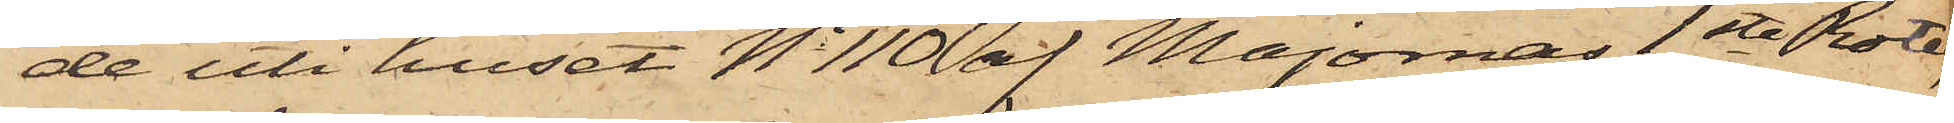de uti huset No 110 af Majornas 1ste Rote;
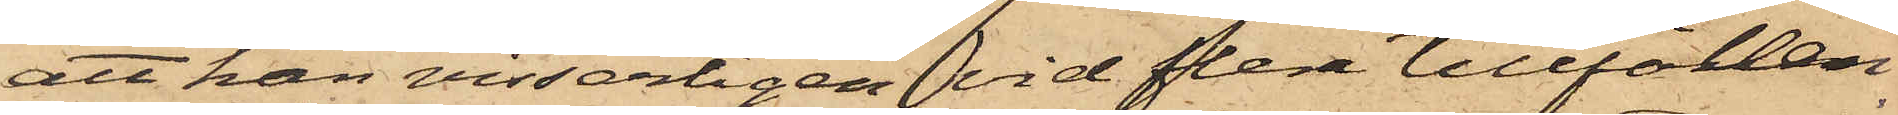att han visserligen vid flera tillfällen
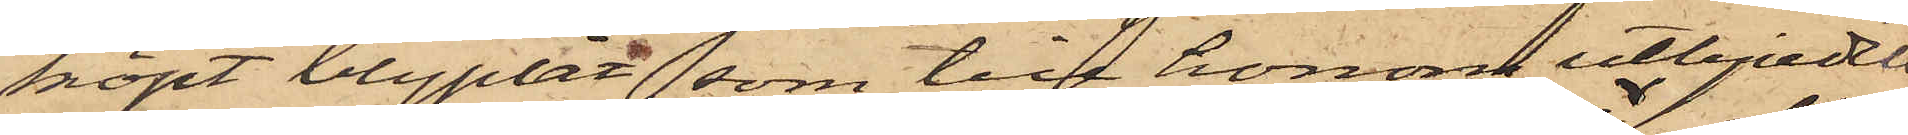köpt blyplåt, som till honom utbjudits,
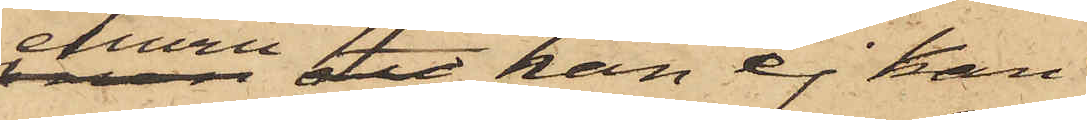ehuru det han ej kan
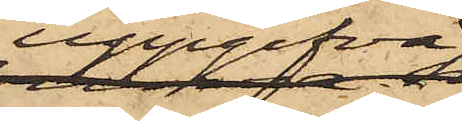uppgifva
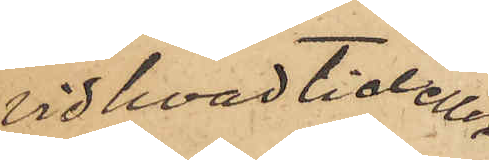vid hvad tid eller
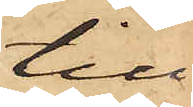till
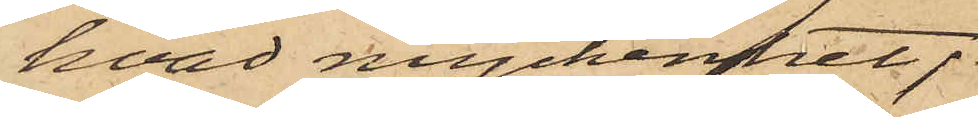hvad myckenhet;
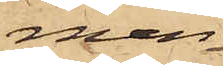men
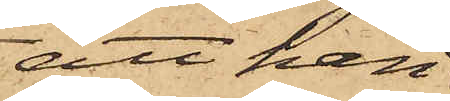att han
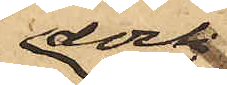dock
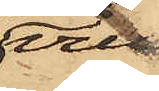vill
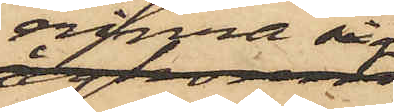erinra sig
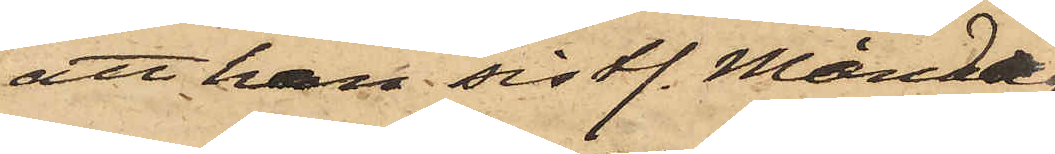att han sistl. Måndag
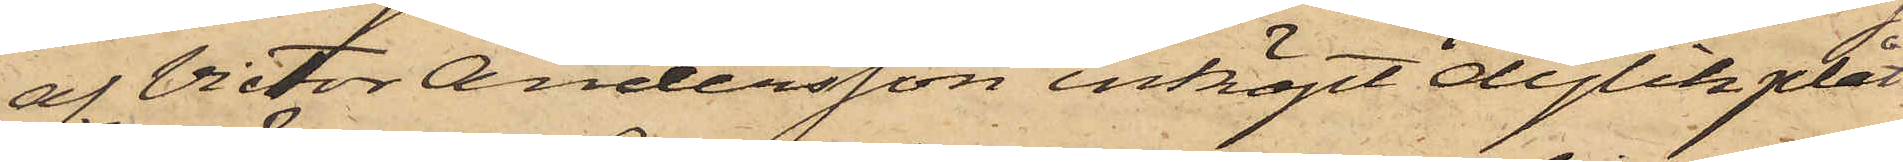af Victor Andersson inköpt dylik plåt;
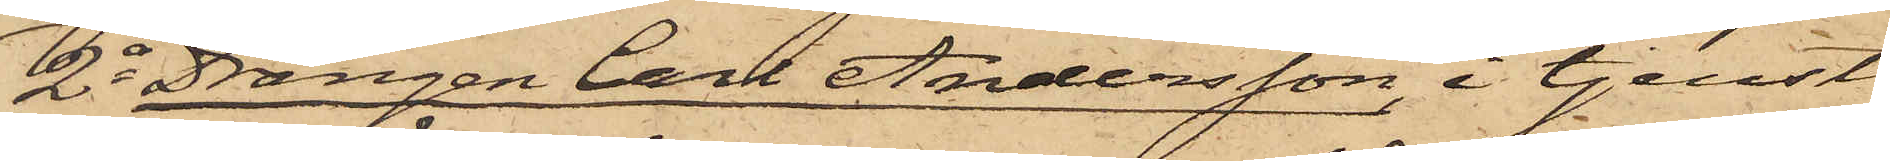2o Drängen Carl Andersson, i tjenst
